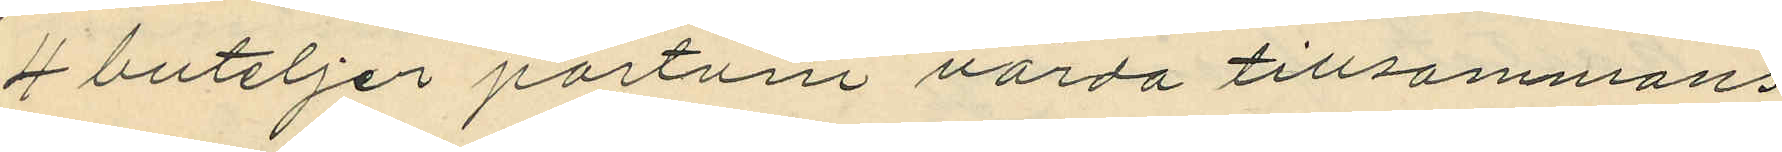4 buteljer portvin värda tillsammans
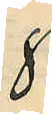8
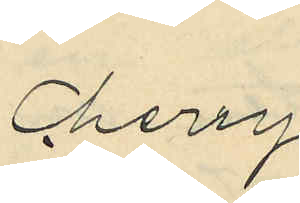Cherry
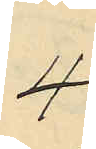4
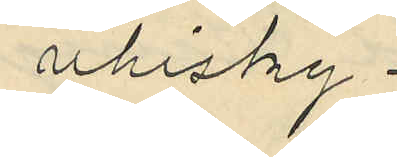vhisky
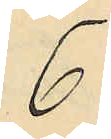6
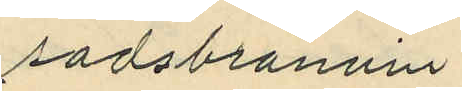sadsbränvin
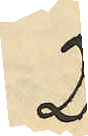2.
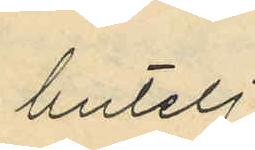butelj
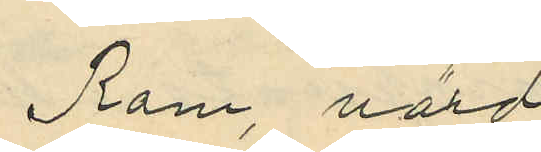Rom, värd
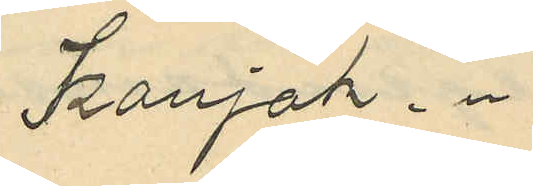Konjak, "
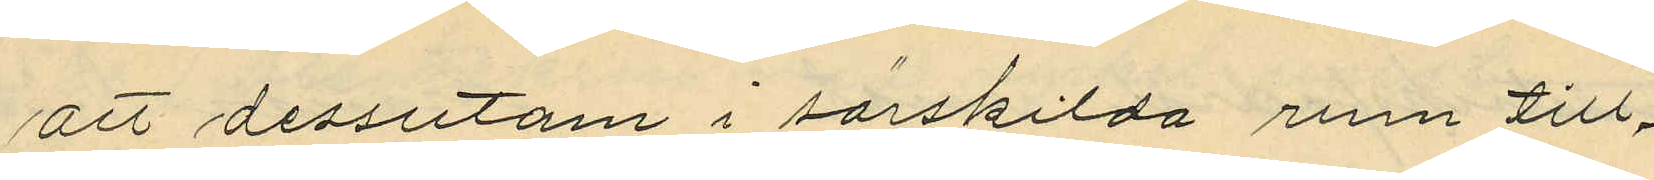att dessutom i särskilda rum till¬
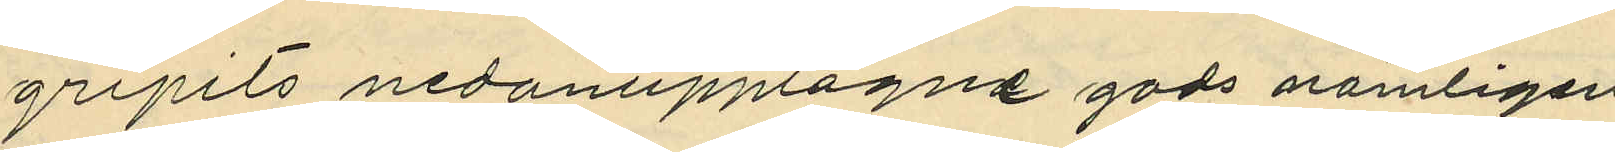gripits nedanupptagne gods nämligen
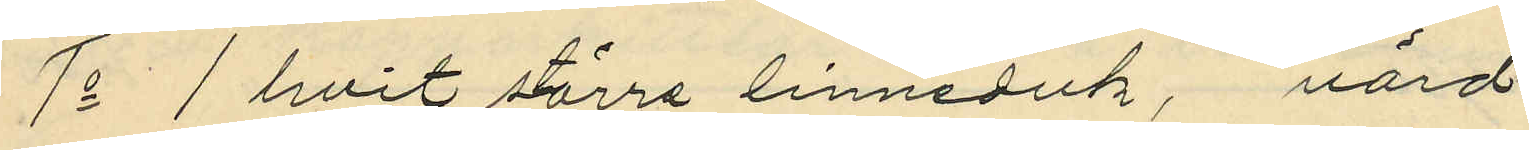1o 1 hvit större linneduk, värd
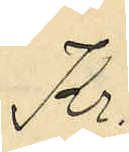Kr.
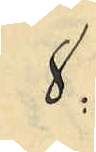8:
